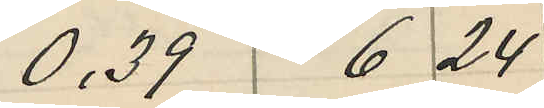0,39 6 24
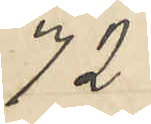72
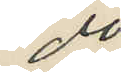do
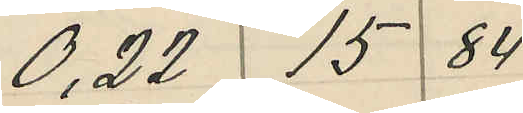0,22 15 84
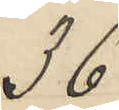36
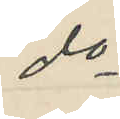do
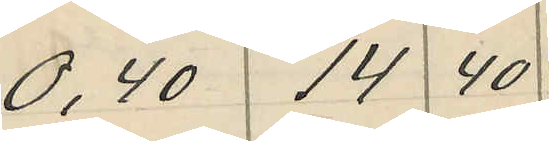0,40 14 40
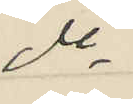do
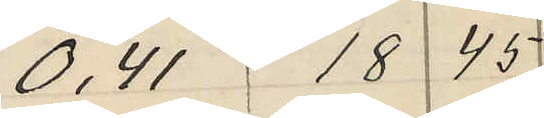0,41 18 45
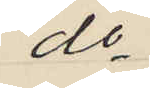do
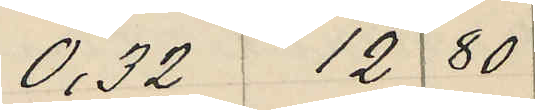0,32 12 80
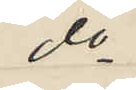do
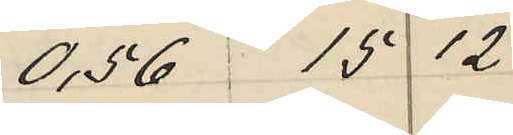0,56 15 12
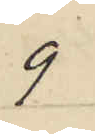9
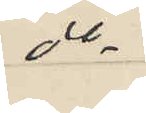do
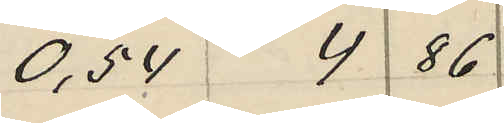0,54 4 86
